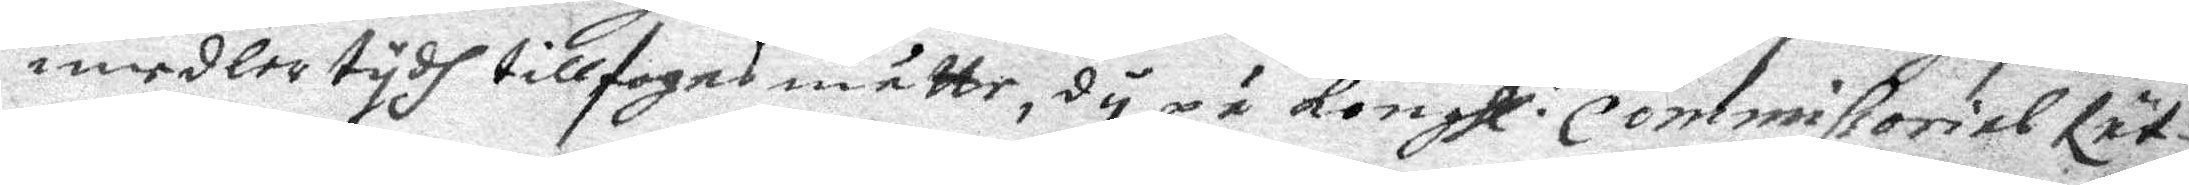imedlertydh tillfogas måtte, dÿ på konghl: Commissorial Rät¬
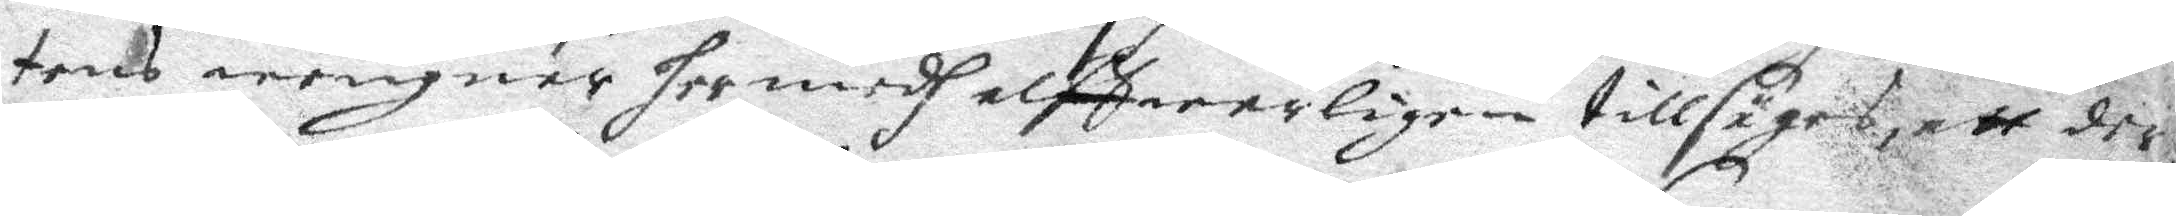tens wengnar hermedh alffwarligen tillsäges, att der
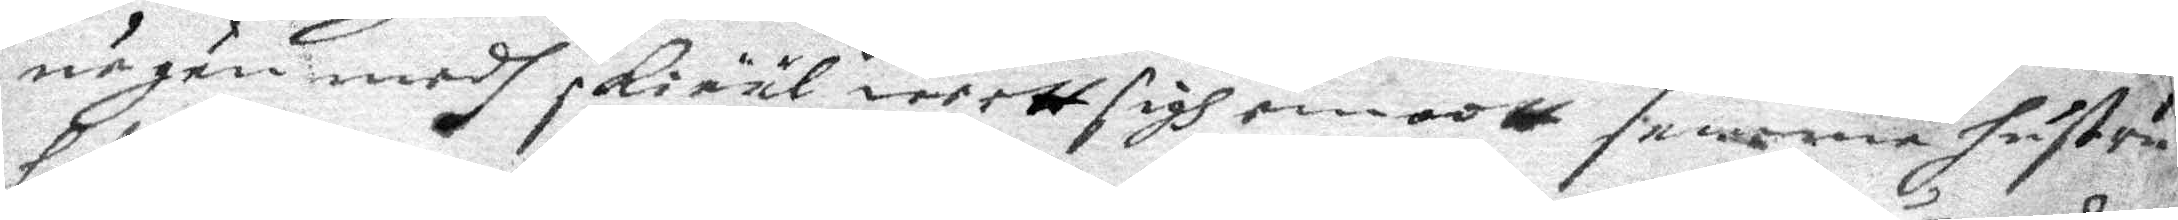någon medh sKiääl weett sigh emoott samma hustru
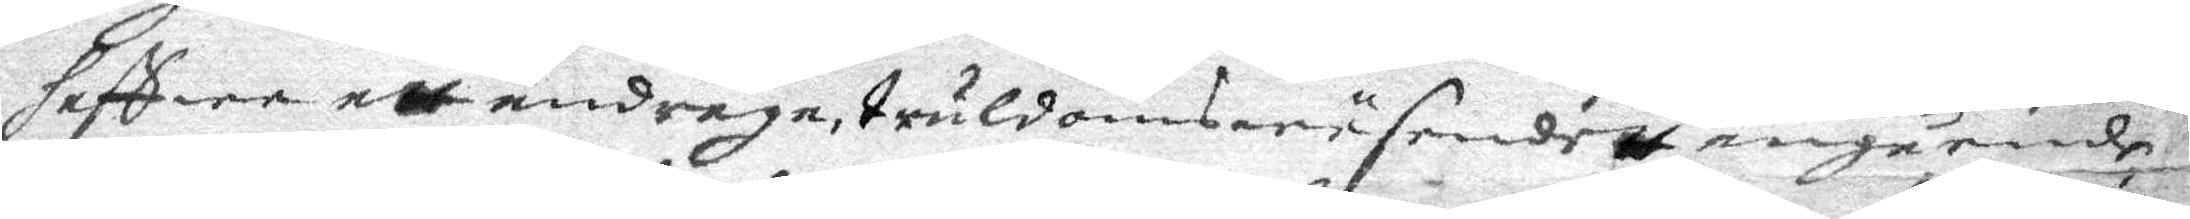haffwa att andraga truldomswäsendett angående
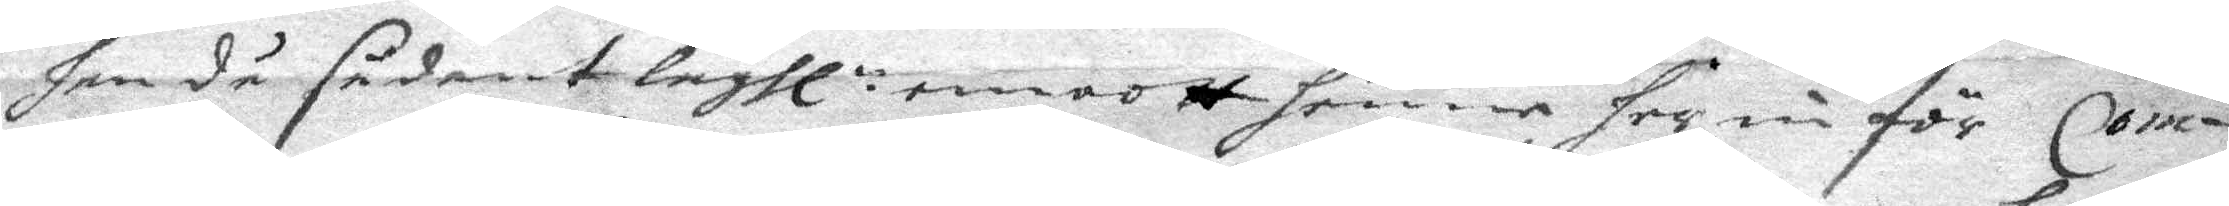han då sådant lagll: emoott henne her nu för Com¬
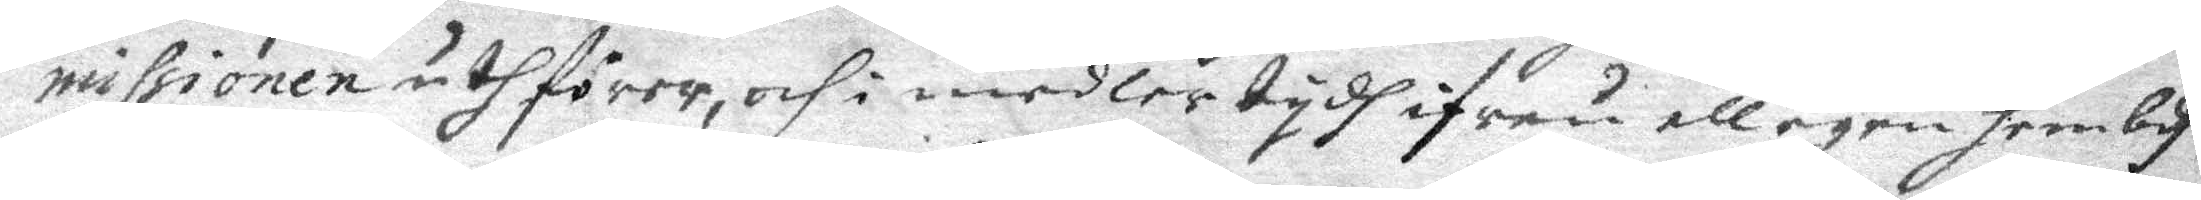missionen uthförer, och i medlertydh ifrån all egen hembdh
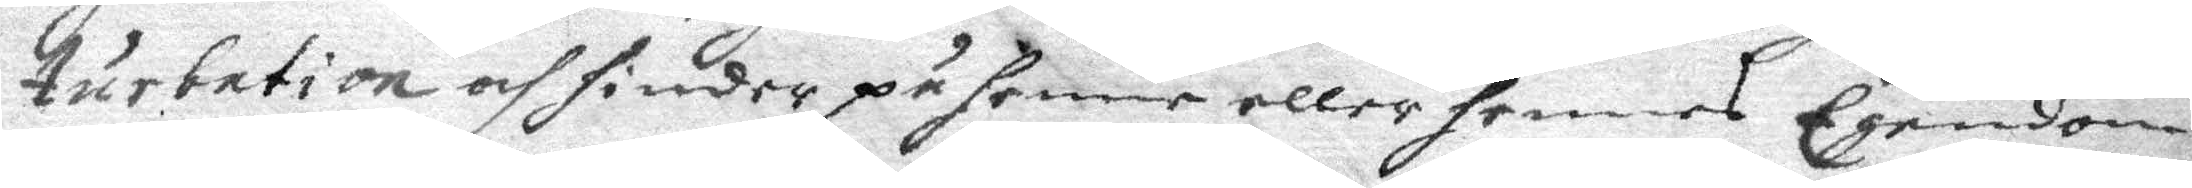turbation och hinder på henne eller hennes Egendom
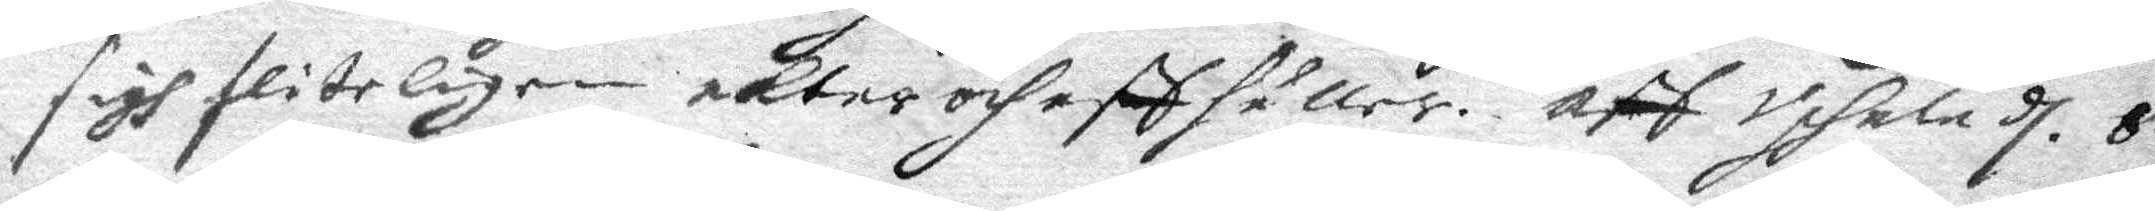sigh fliteligen aKtar och affhåller. aff Upsala d. 8.
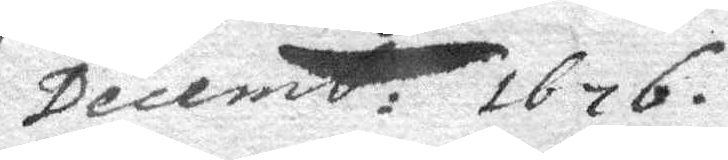Decemb: 1676.
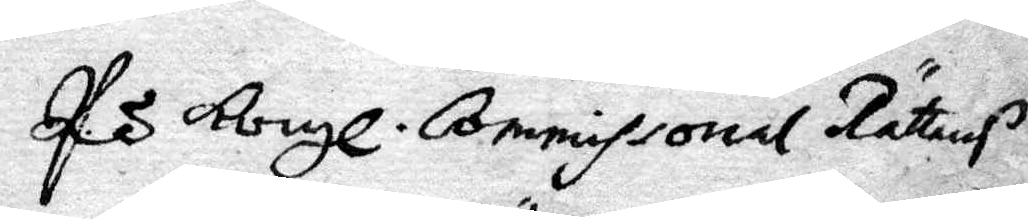P Kongl. Commissorial Rättens
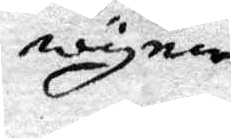wägnar
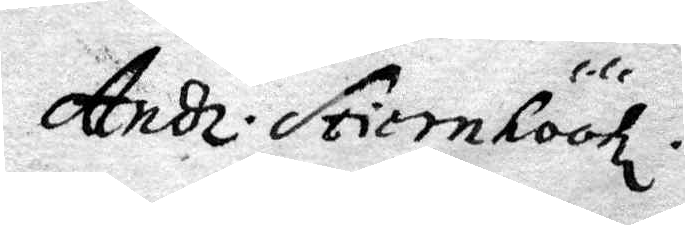And. Stiernhöök.
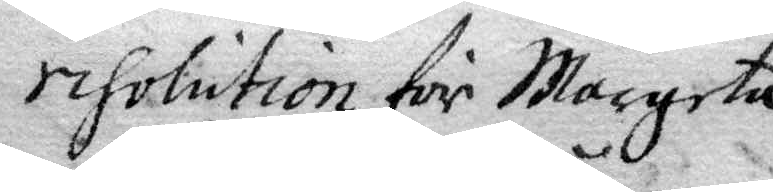resolution för Margeta
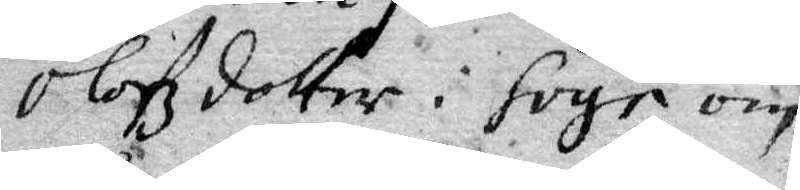Olofzdotter i håge om
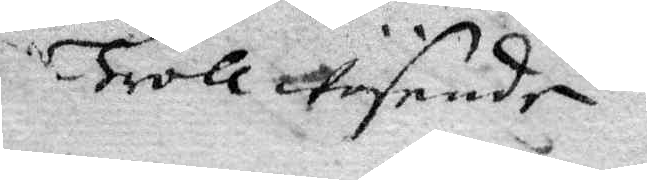trollwäsende
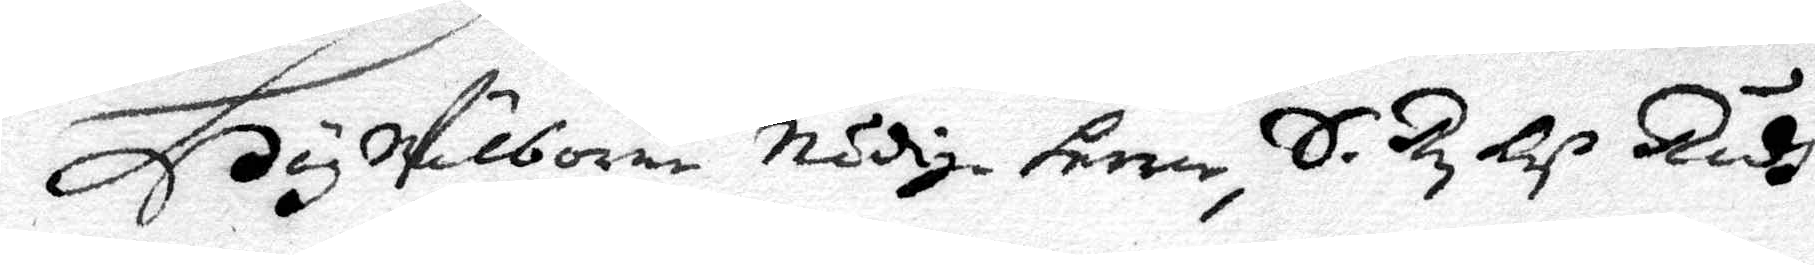HögWälborne Nådige Herrar, S. Ry Och Rådh
